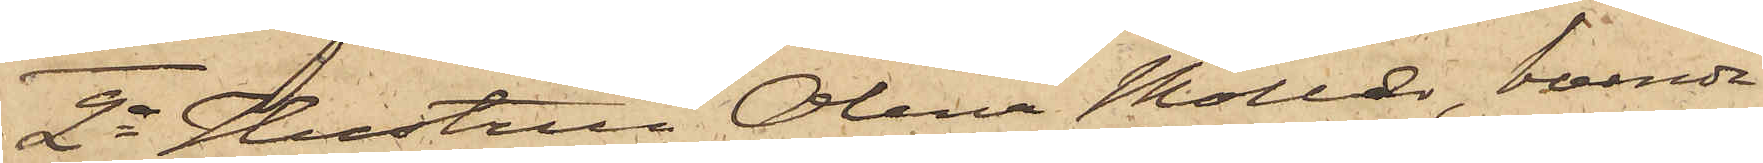2o Hustrun Olena Möller, boende
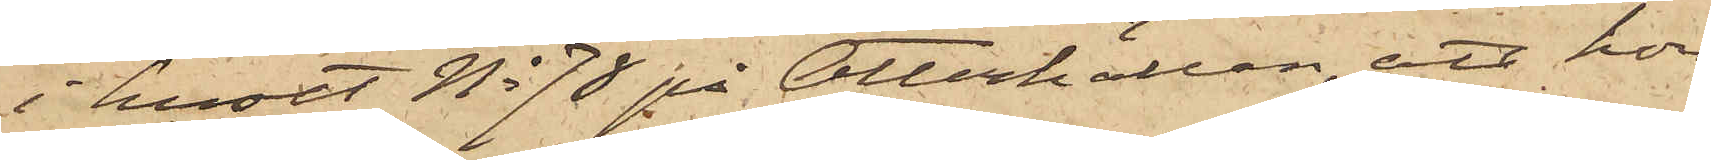i huset No 78 på Otterhällan, att hon
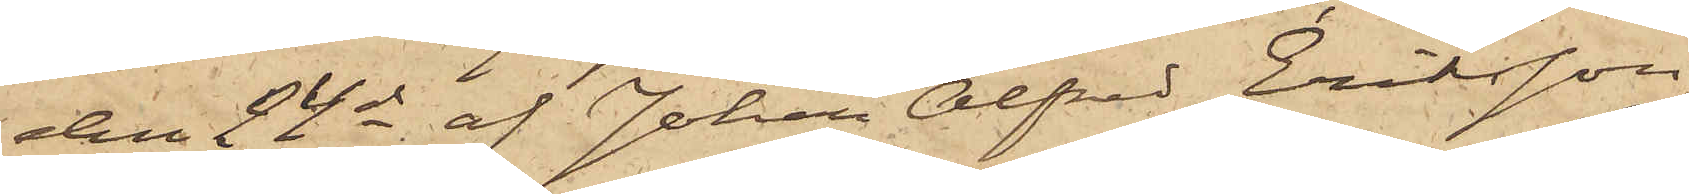den 24 ds af Johan Alfred Eriksson
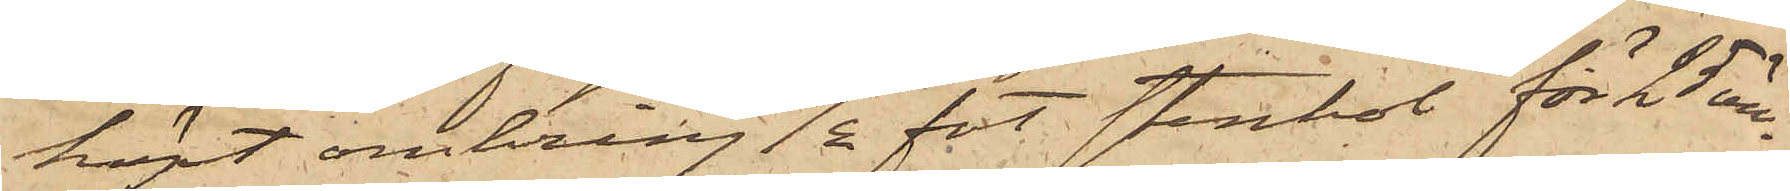köpt omkring  ½ fot stenkol för 25 öre;
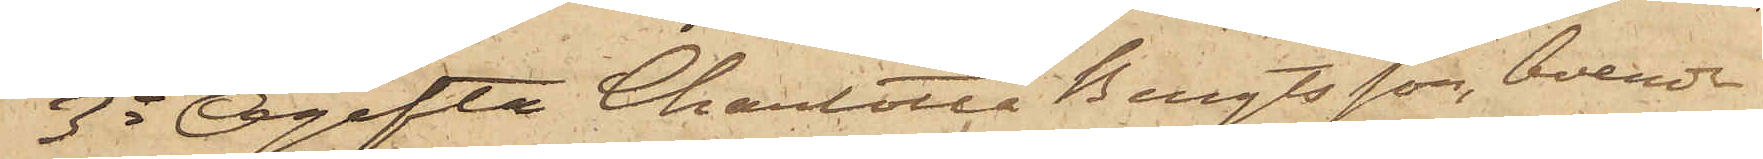3o Ogifta Charlotta Bengtsson, boende
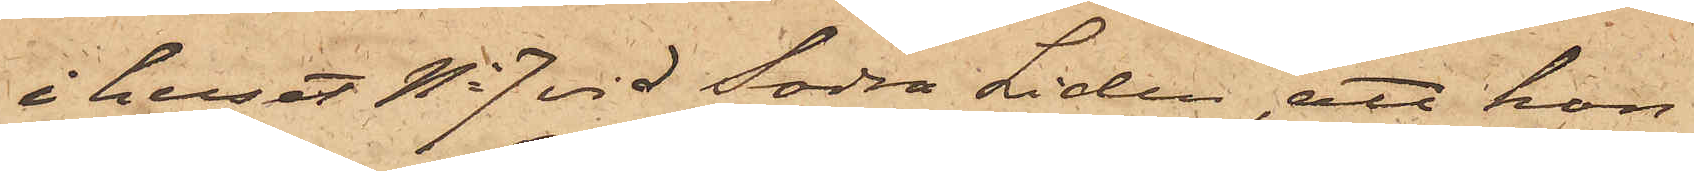i huset No 7 vid Södra Liden, att hon
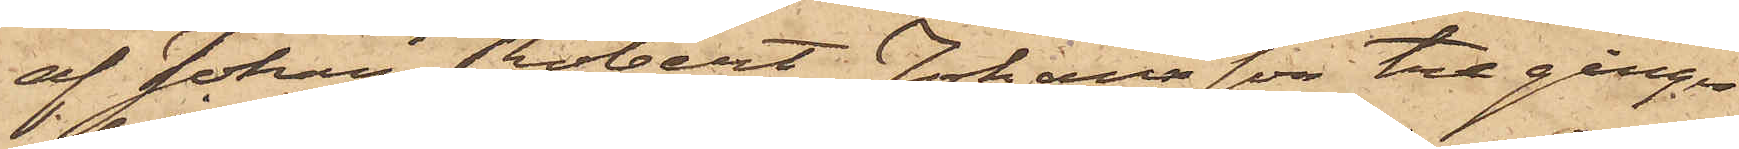af Johan Robert Johansson tre gånger
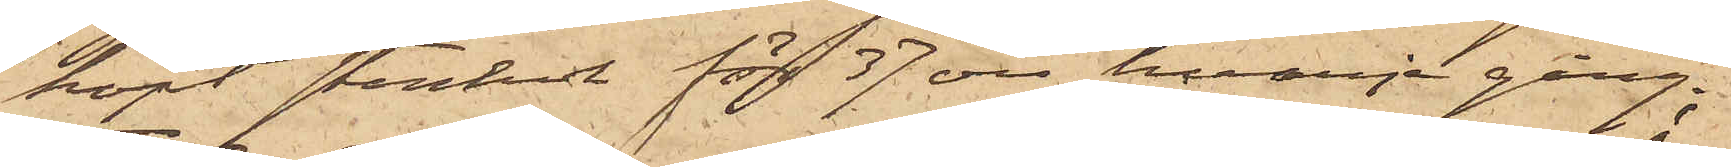köpt stenkol för 37 öre hvarje gång;
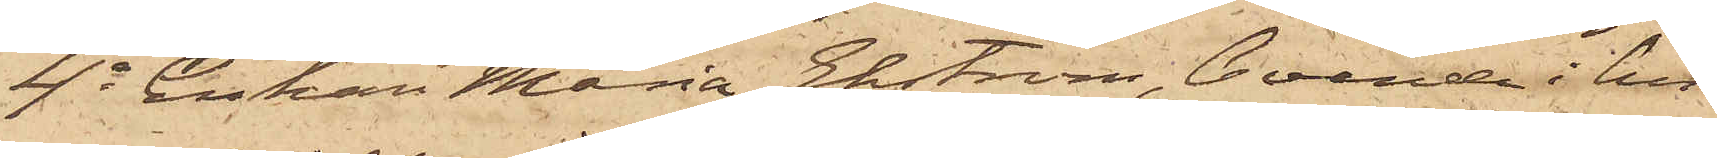4o Enkan Maria Ekström, boende i hu¬
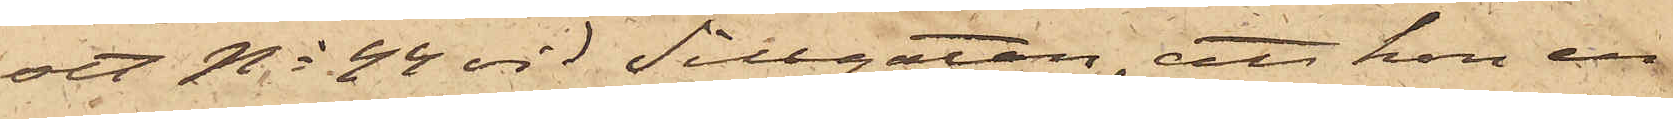set No 44 vid Sillgatan, att hon en
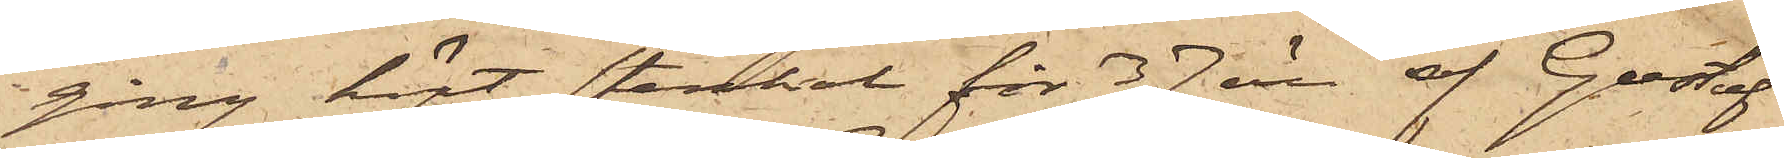gång köpt stenkol för 37 öre af Gustaf
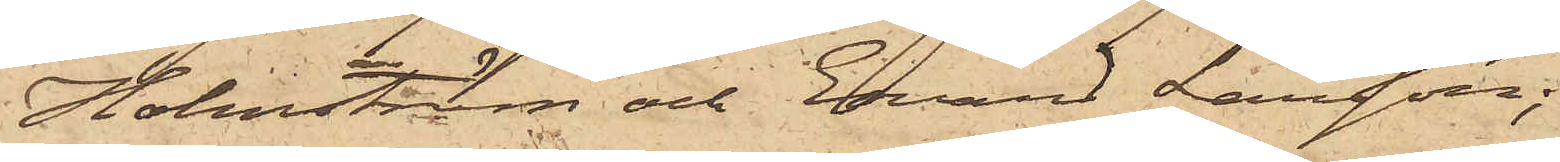Holmström och Edvard Larsson;
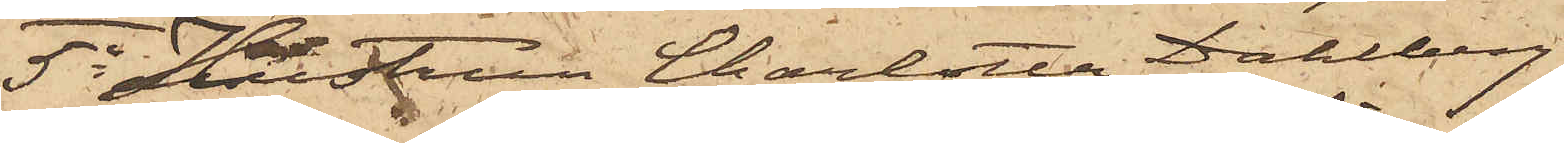5o Hustrun Charlotta Dahlberg,
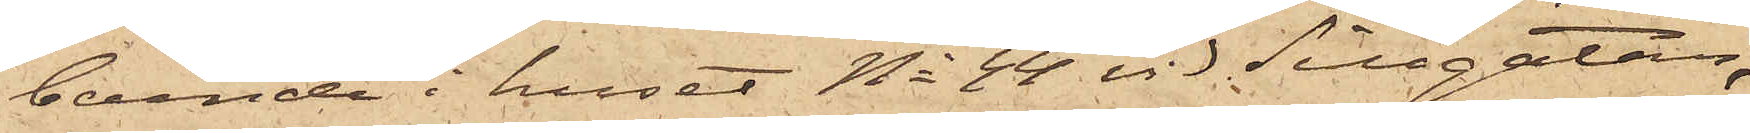boende i huset No 44 vid Sillgatan,
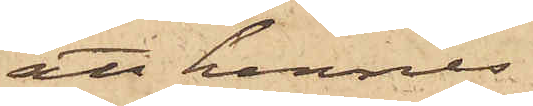att hennes
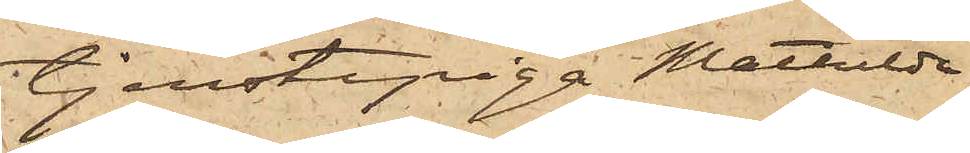tjenstepiga Mathilda
